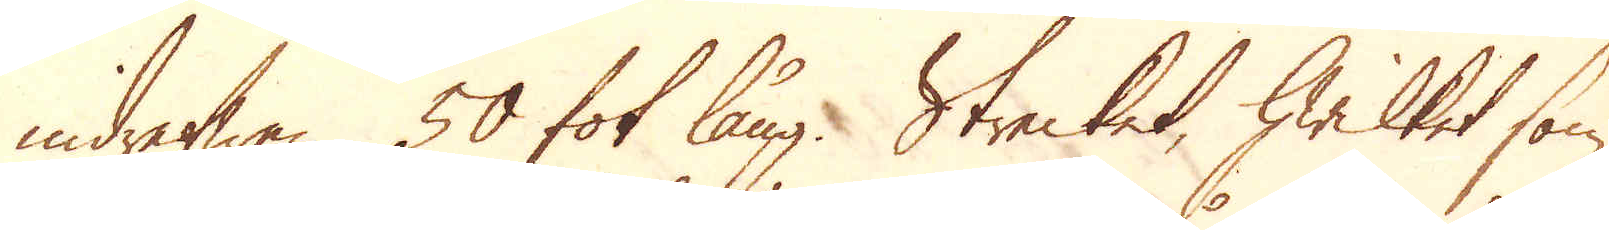drefwen 50 fot lång. Strecket, hwilket som
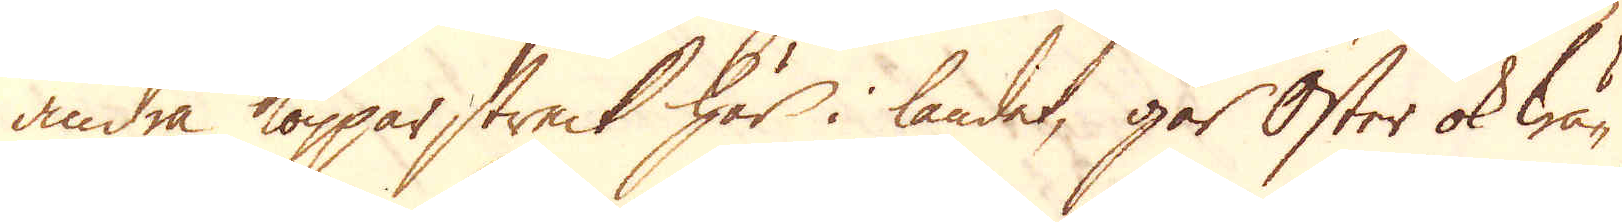andra Kopparstreck här i landet, går Öster ok wä-
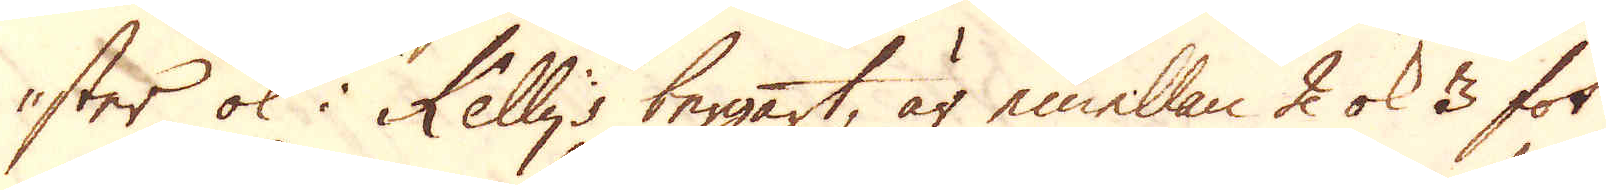ster ok i Kellys bergart, är emellan 2 ok 3 fot
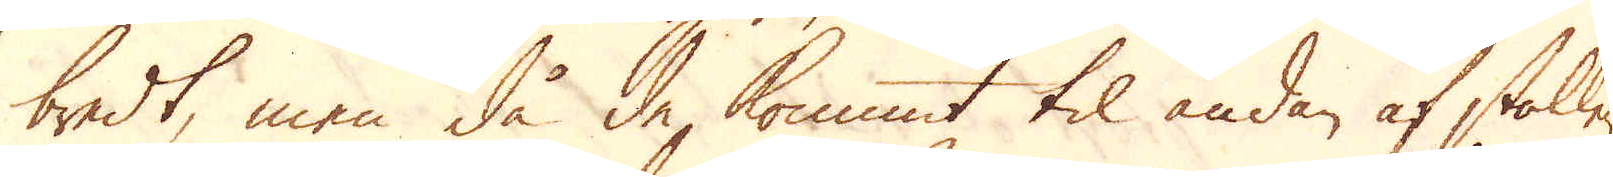bredt, men då de kommit til ändan af stollen,
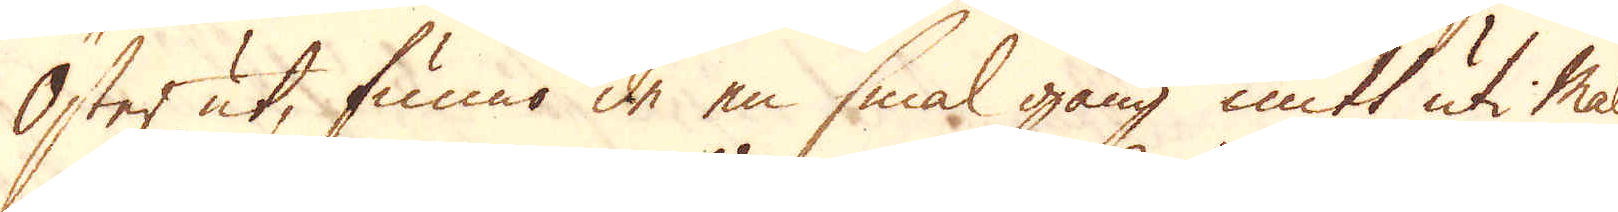Öster ut, funno de en smal gång mitt uti malm
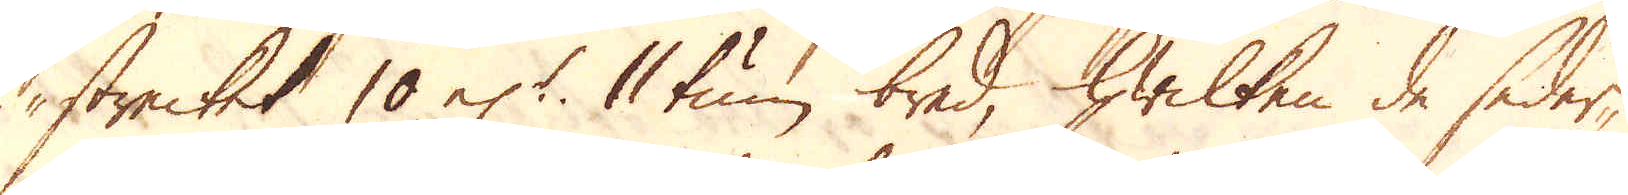strecket 10 el:r 11 tum bred, hwilken de seder-
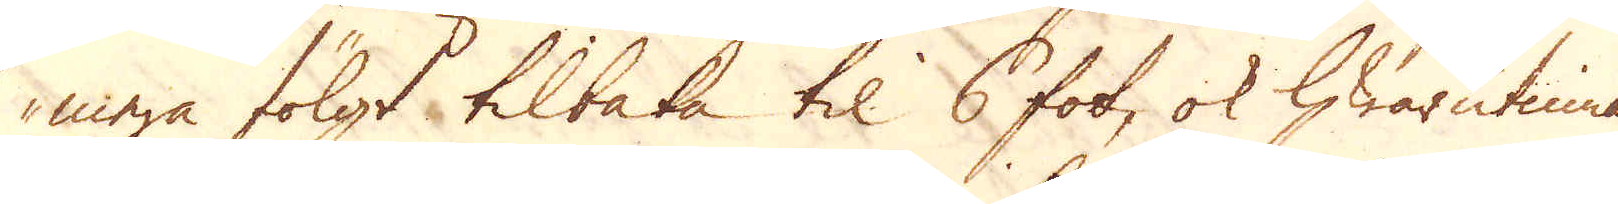mera fölgt tilbaka til 6 fot, ok hwarutinnan
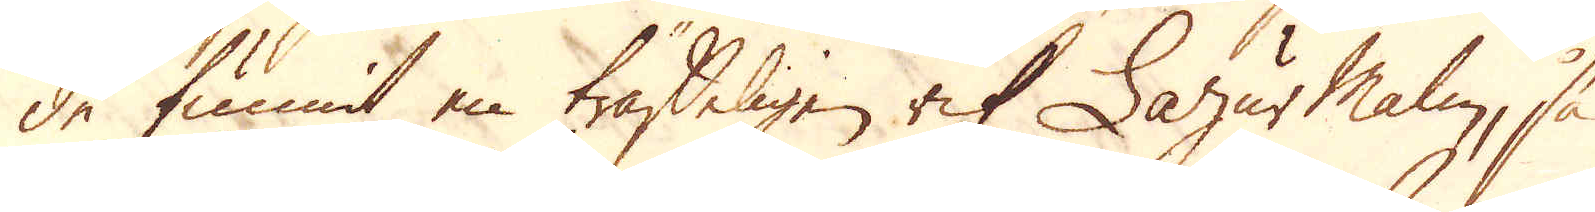de funnit en träffeligen rik Lagur malm, så
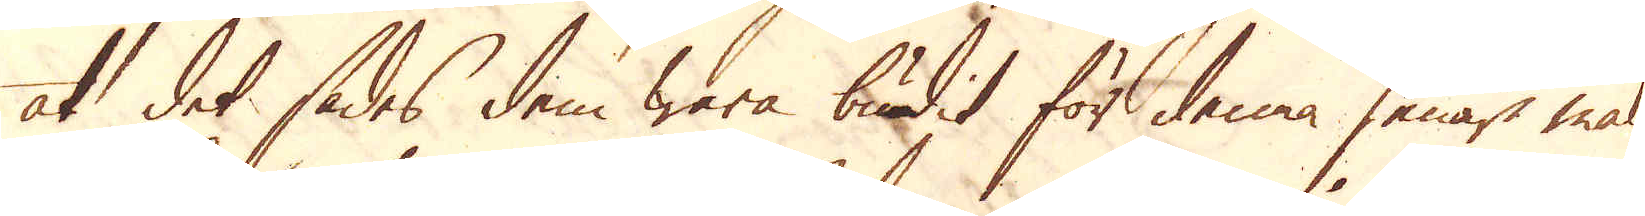at det sades dem wara budit för denna senare malm
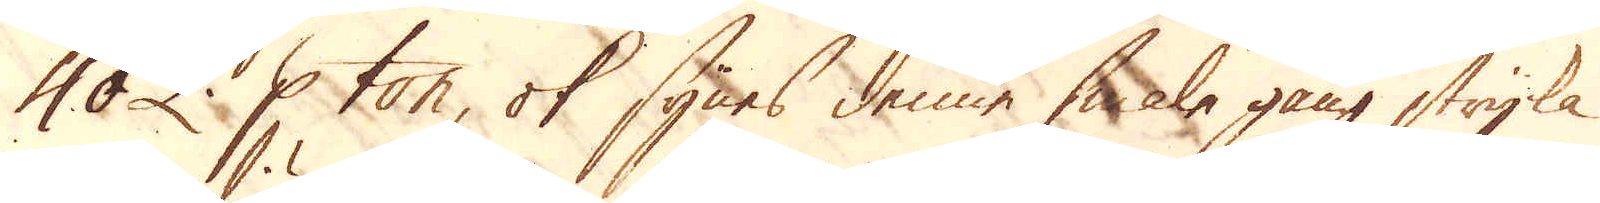40 £. p ton, ok synes denne smala gång stryka
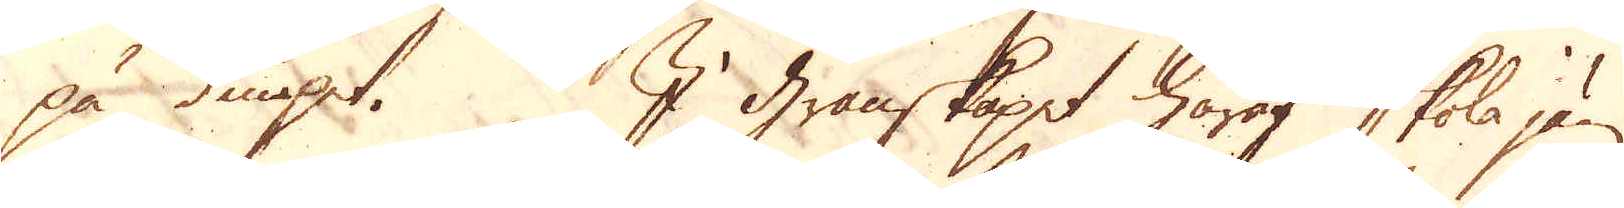på diupet. I Granskapet häraf skola jäm-
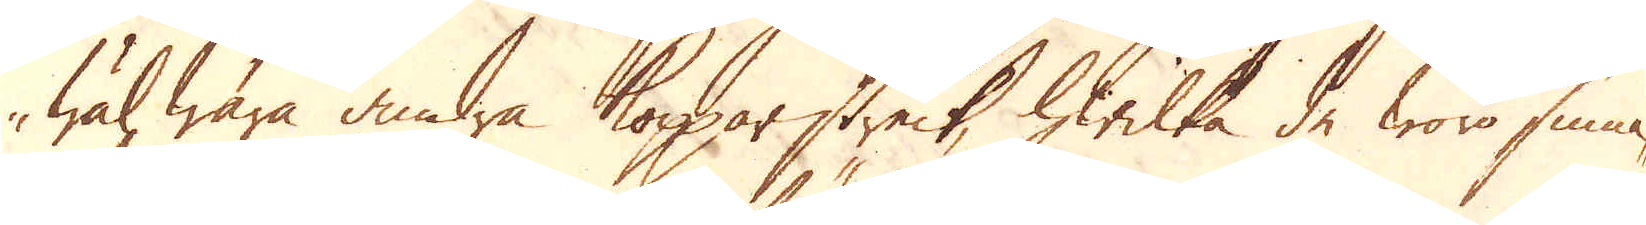wäl wara andra Kopparstreck, hwilka de woro sinna-
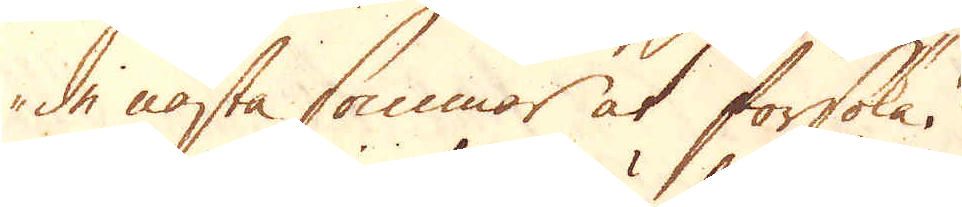de nästa sommar at försöka.
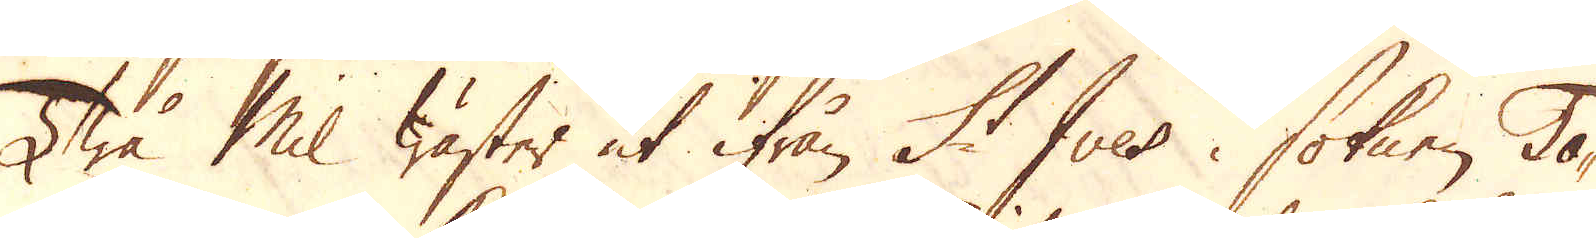Twå Mil wäster ut ifrån St Ives soknen To-
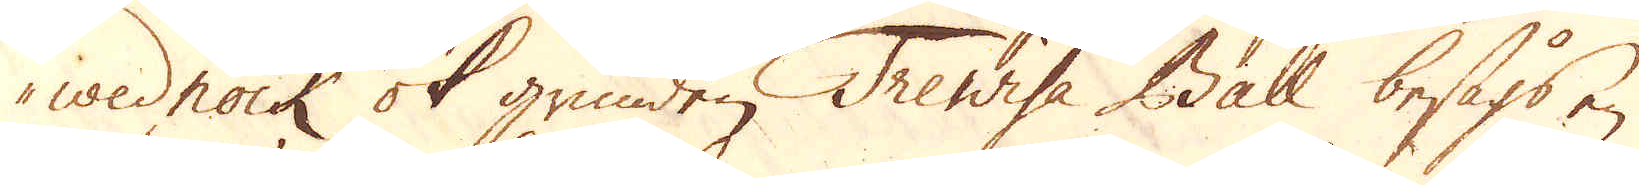wednock besågs en
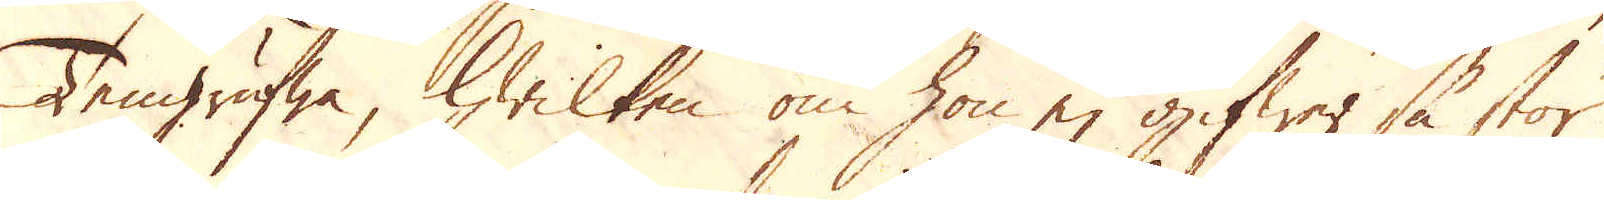Tengrufwa, hwilken om hon ej gifwer så stor
